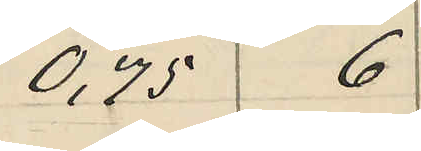0,75 6
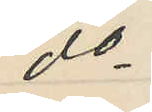do
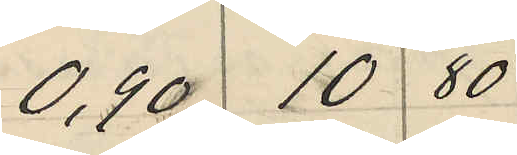0,90 10 80
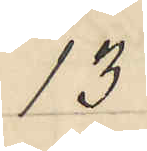1,35
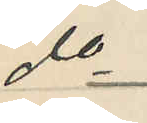do
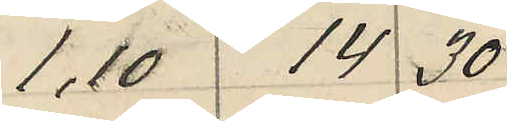1,10 14 30
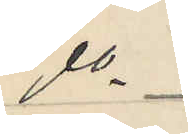do
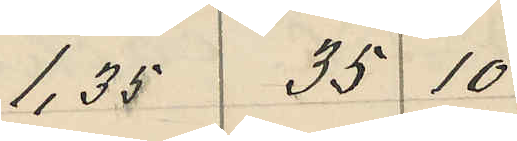1,35 35 10
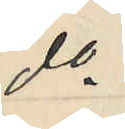do
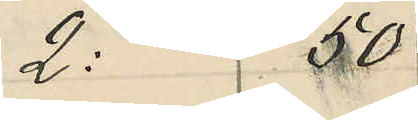2: 50
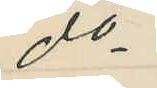do
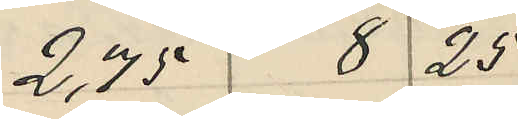2,75 8 25
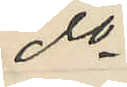do
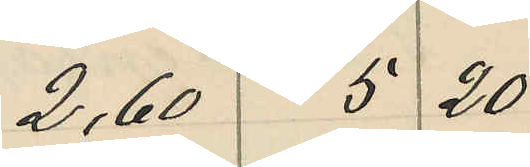2,60 5 20
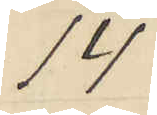14
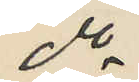do
